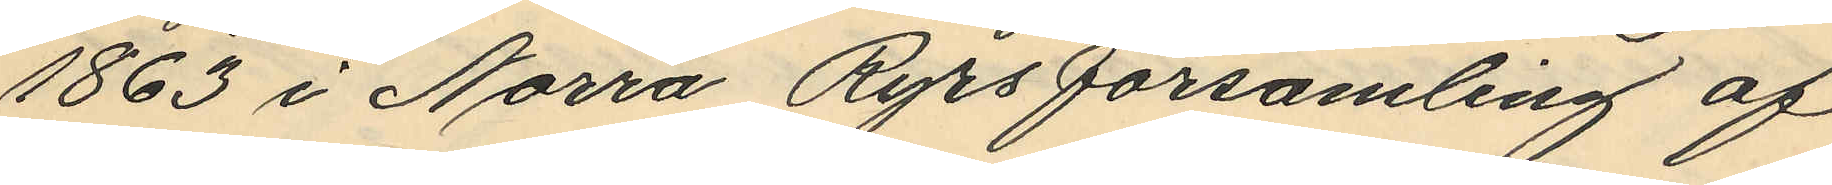1863 i Norra Ryrs församling af
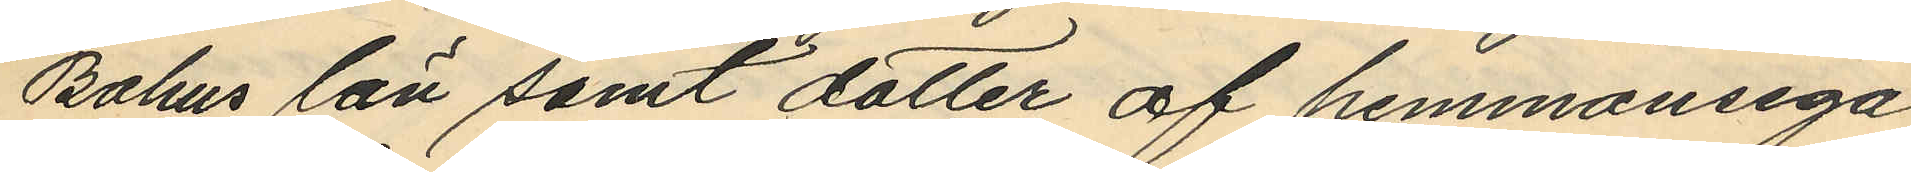Bohus län samt dotter af hemmansega
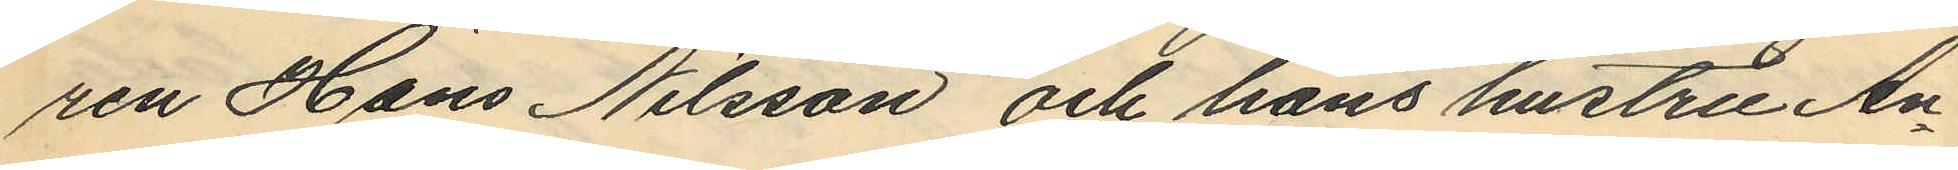ren Hans Nilsson och hans hustru An¬
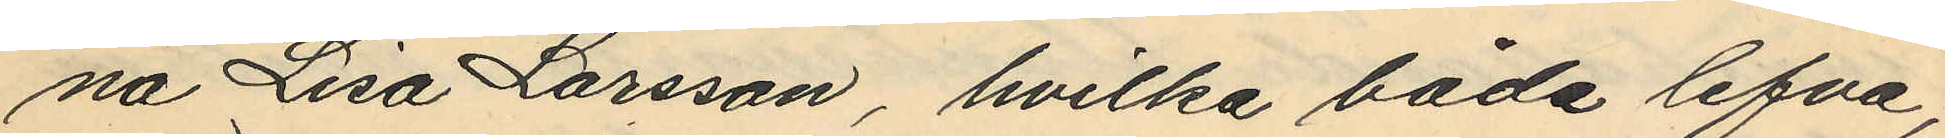na Lisa Larsson, hvilka båda lefva;
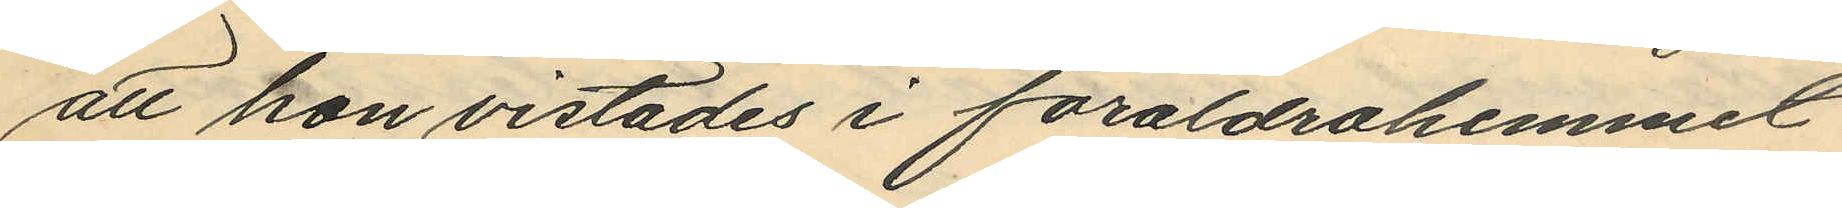att hon vistades i föräldrahemmet
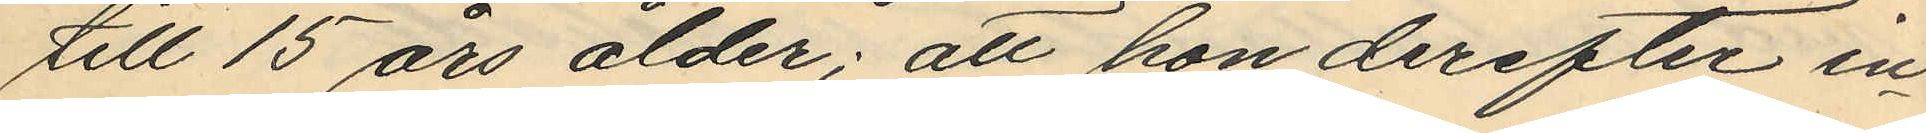till 15 års ålder; att hon derefter in¬
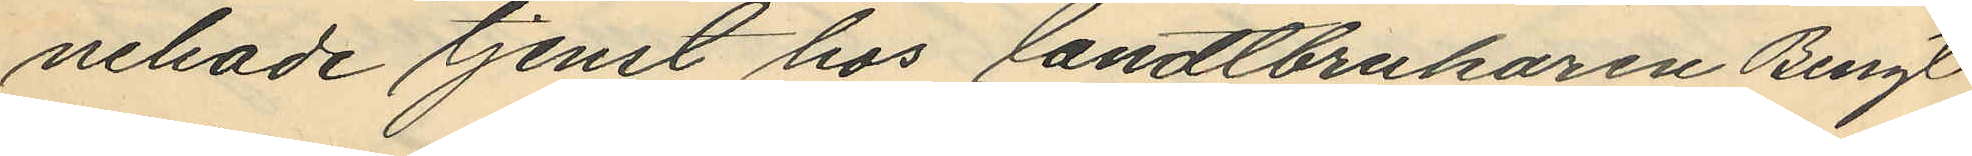nehade tjenst hos landtbrukaren Bengt
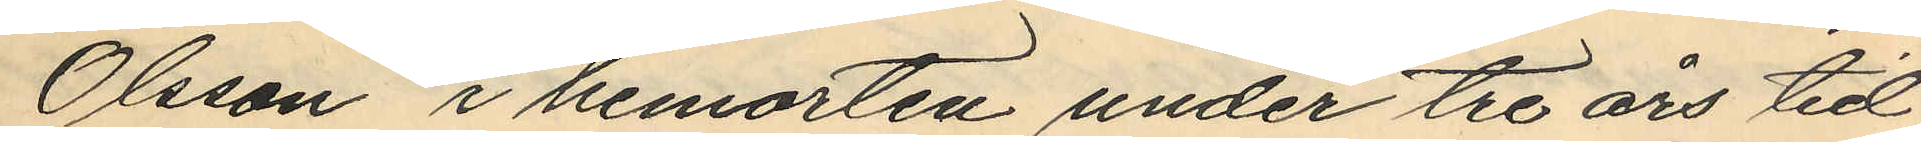Olsson i hemorten under tre års tid,
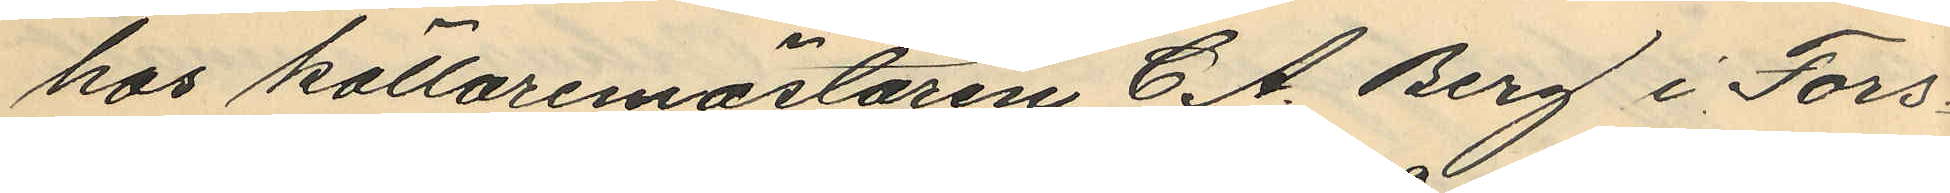hos källaremästaren C. A. Berg i Fors¬
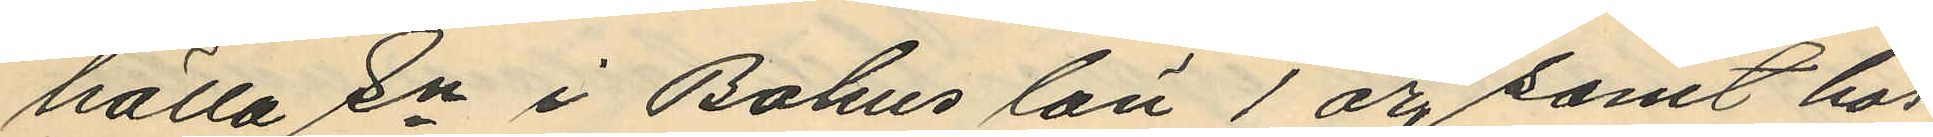hälla Sn i Bohus län 1 år, samt hos
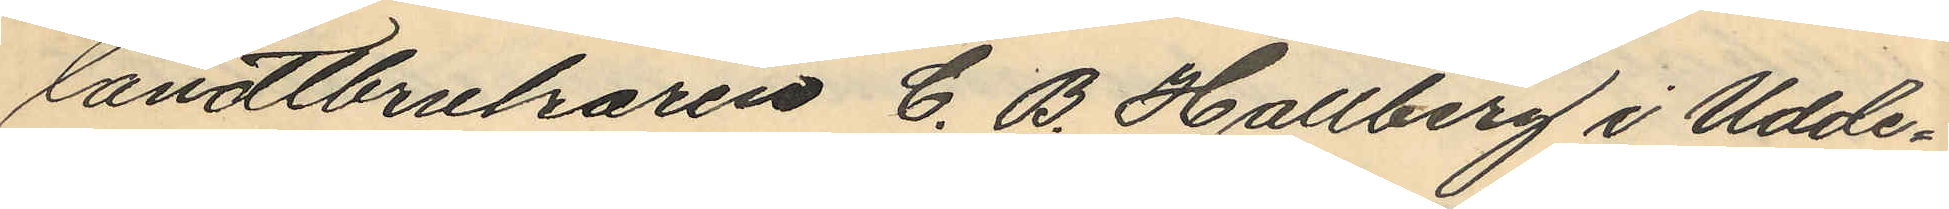landtbrukaren C. B. Hallberg i Udde¬
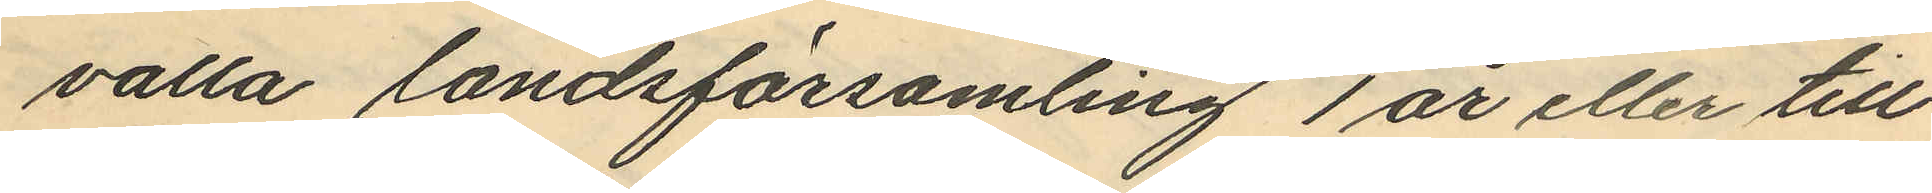valla landsförsamling 1 år eller till
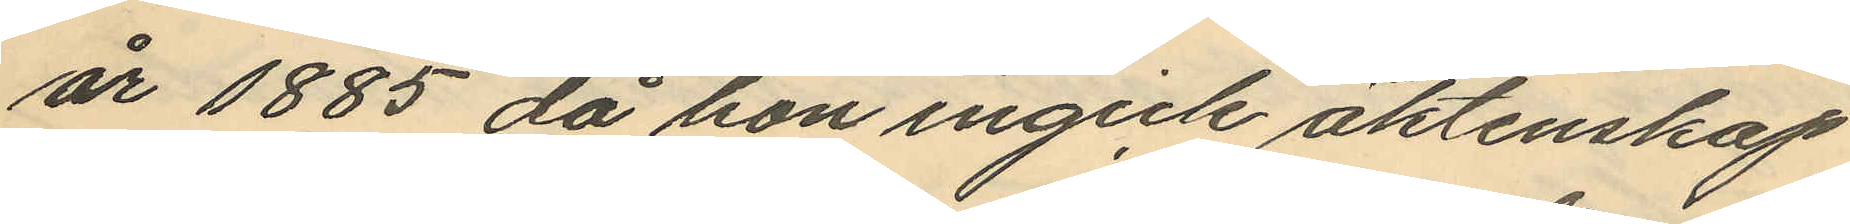år 1885 då hon ingick äktenskap
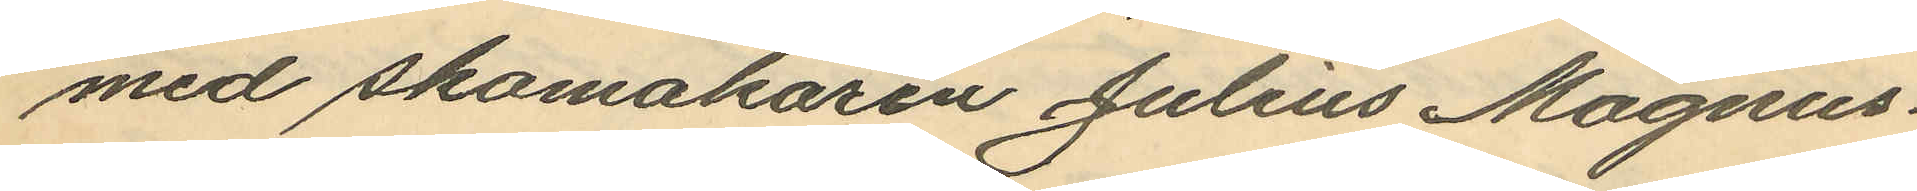med skomakaren Julius Magnus¬
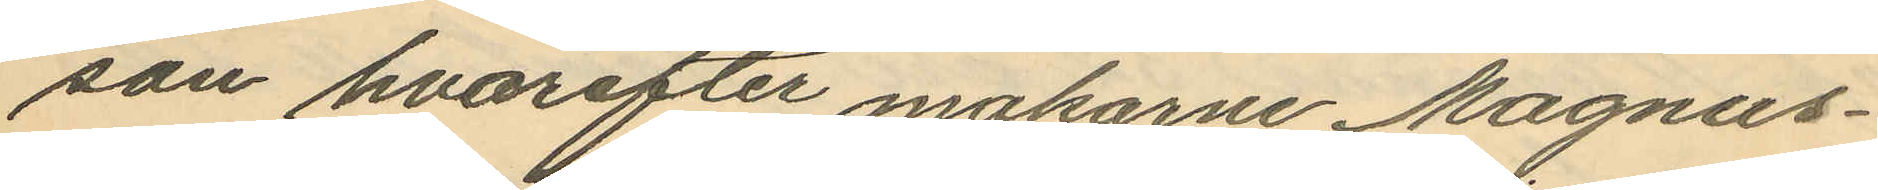son hvarefter makarne Magnus¬
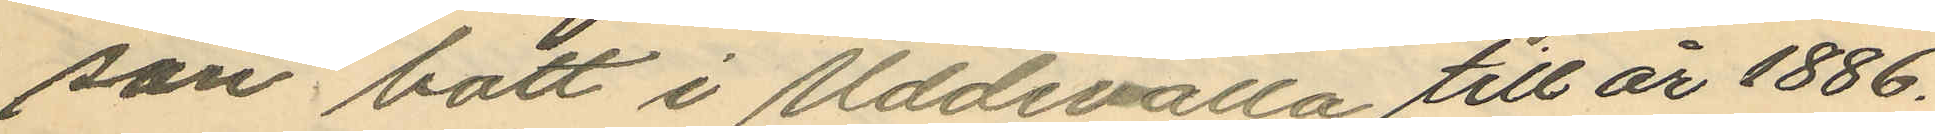son bott i Uddevalla till år 1886.
